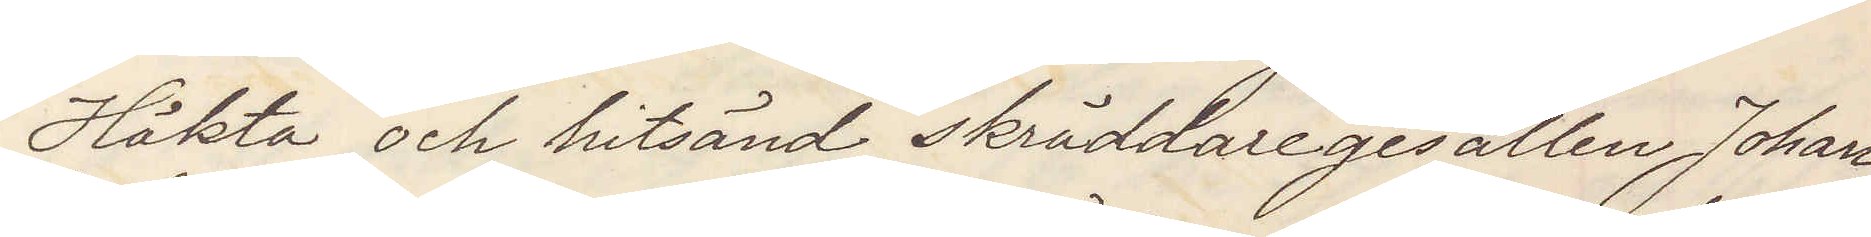Häkta och hitsänd skräddaregesällen Johan
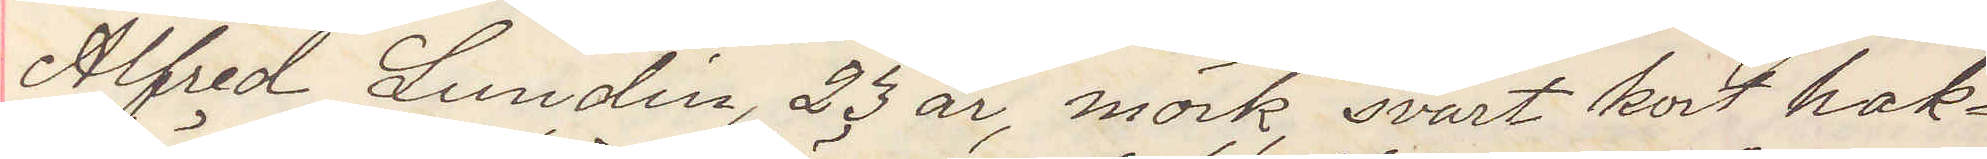Alfred Lundin, 23 år, mörk, svart kort hak¬
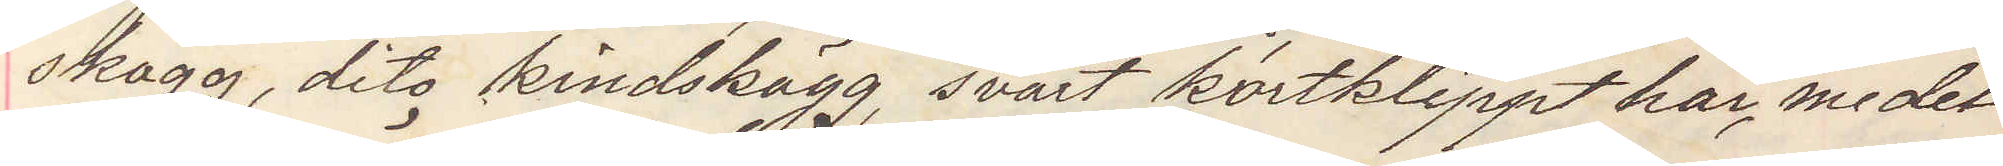skägg, dito kindskägg svart kortklippt hår, medel¬
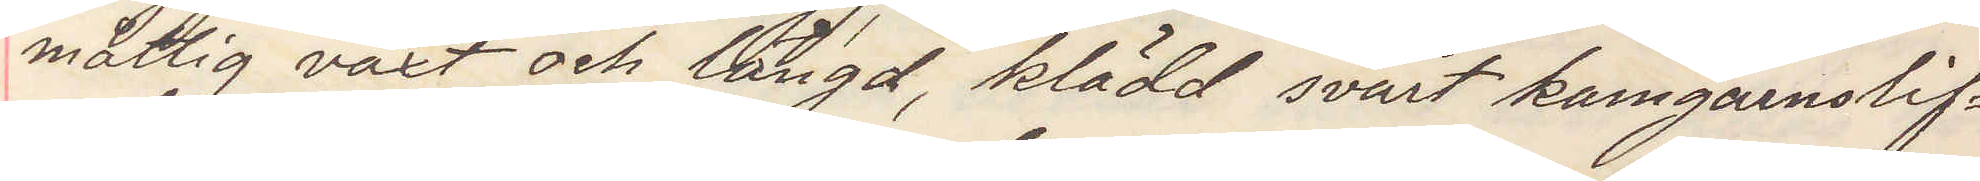måttig växt och längd, klädd svart kamgarnslif¬
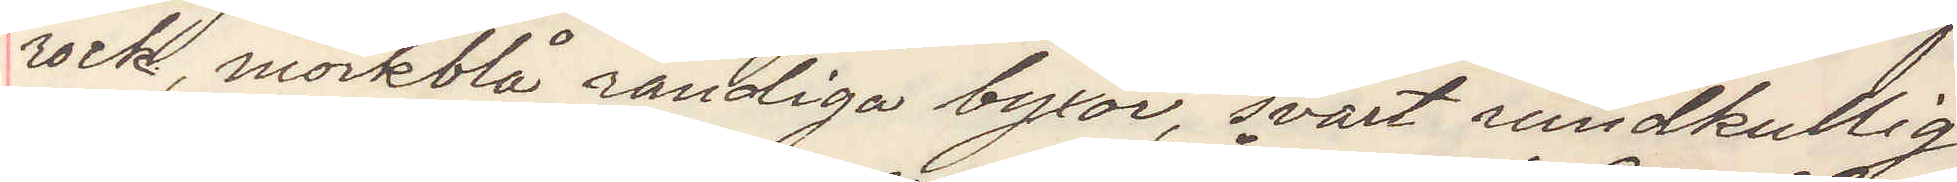rock mörkblå randiga byxor svart rundkullig
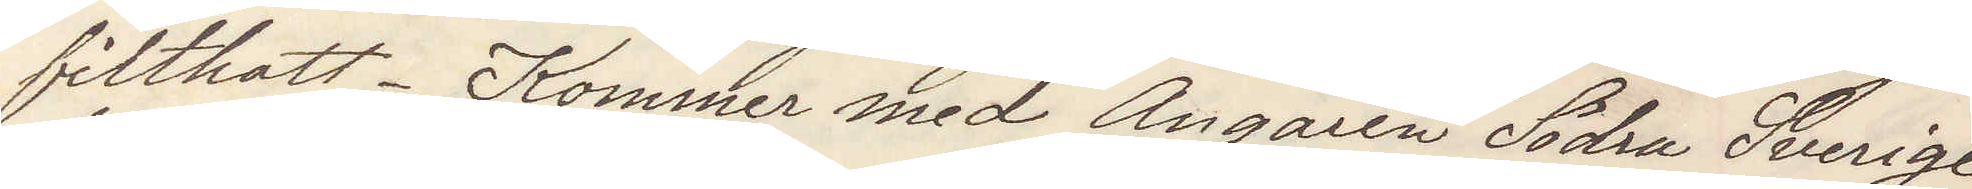filthatt Kommer med Ångaren Södra Sverige
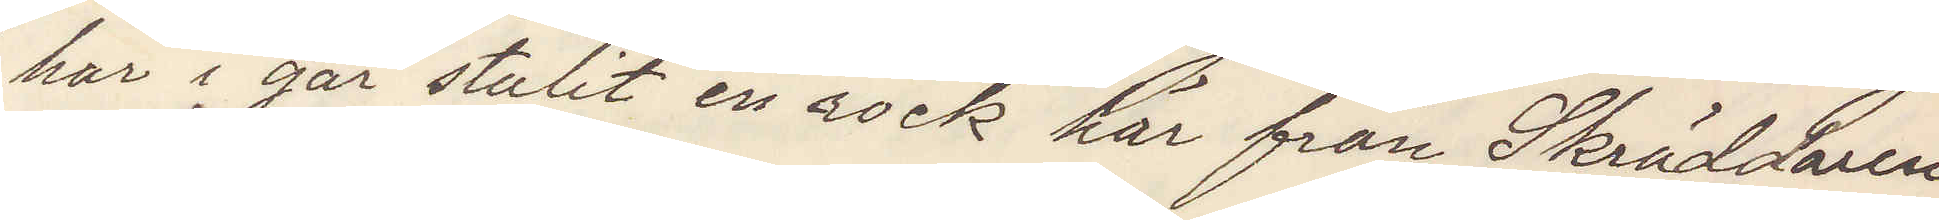har i går stulit en rock här från Skräddaren
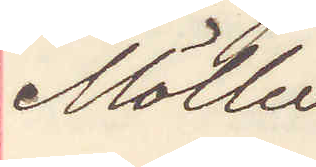Möller
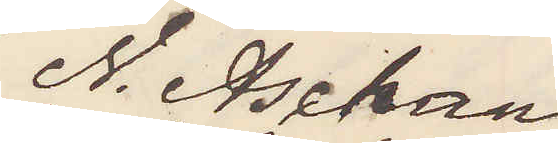N. Aschan
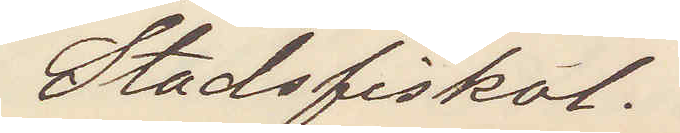Stadsfiskal.
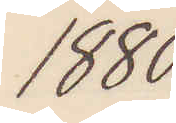1880.
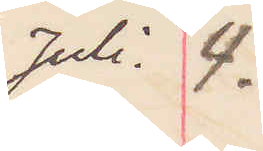Juli 4.
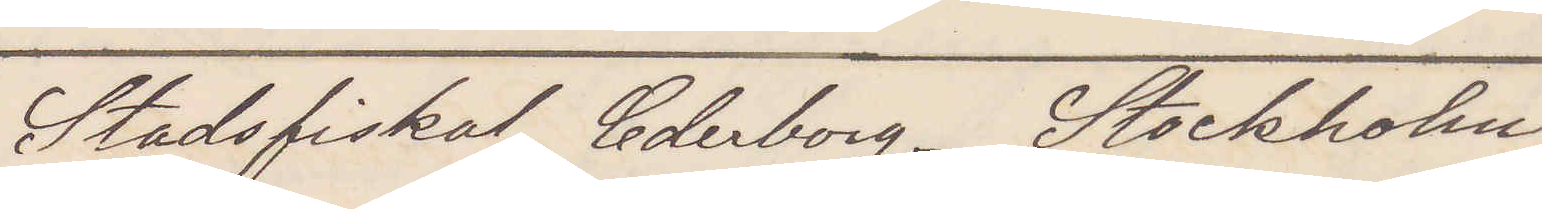Stadsfiskal Cederborg Stockholm.
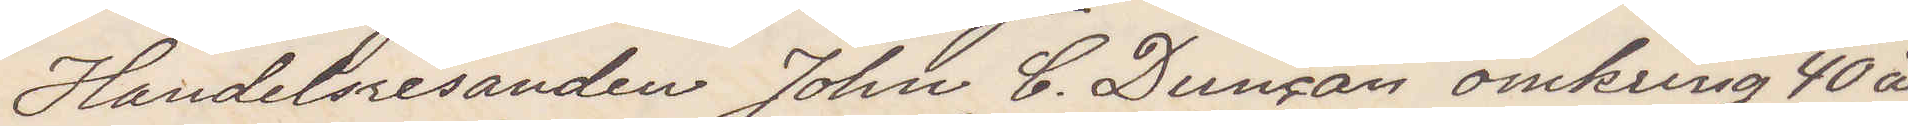Handelsresanden John C. Duncan omkring 40 år
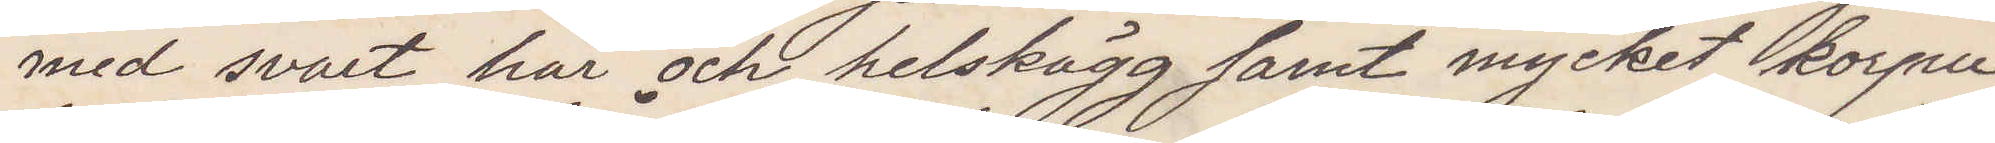med svart hår och helskägg samt mycket korpu¬
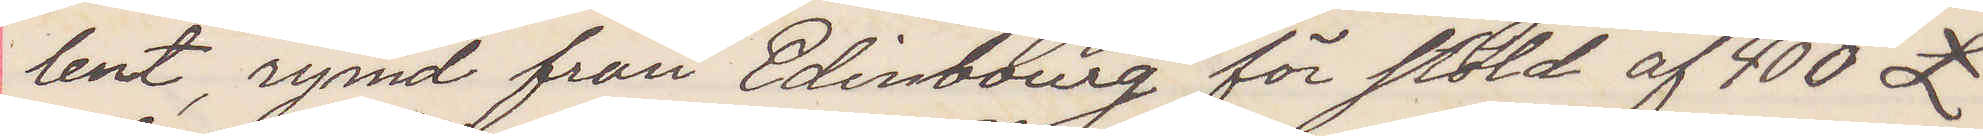lent, rymd från Edinbourg för stöld af 400 £
